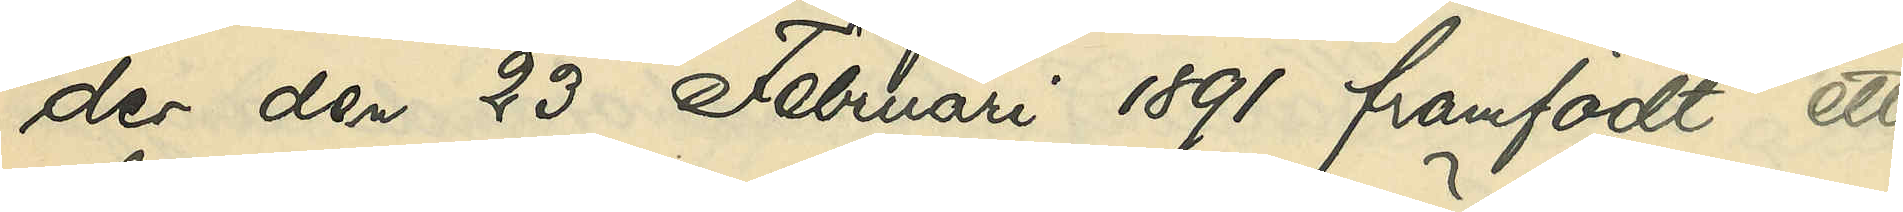der den 23 Februari 1891 framfött ett
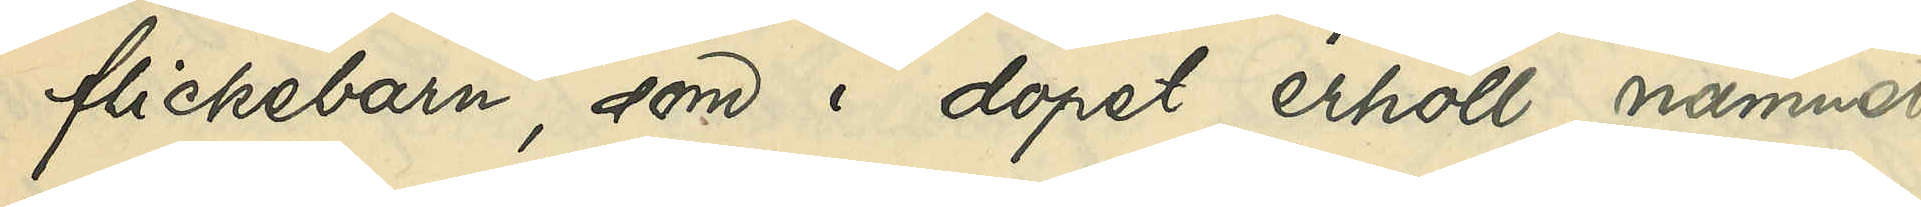flickebarn, som i dopet erhöll namnet
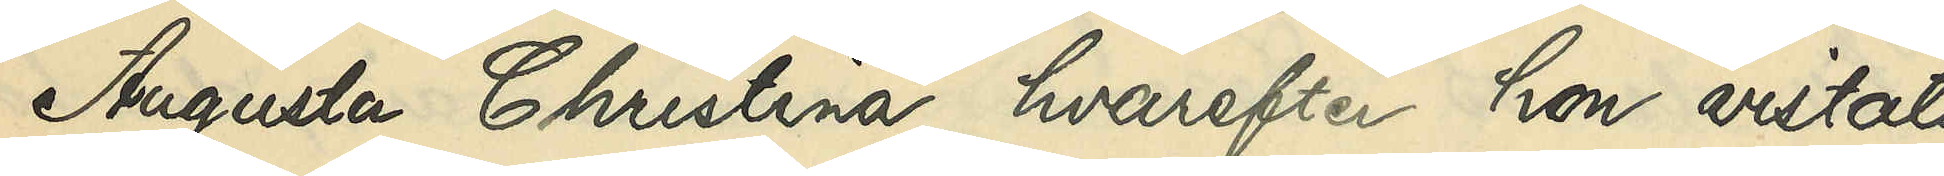Augusta Christina, hvarefter hon vistats
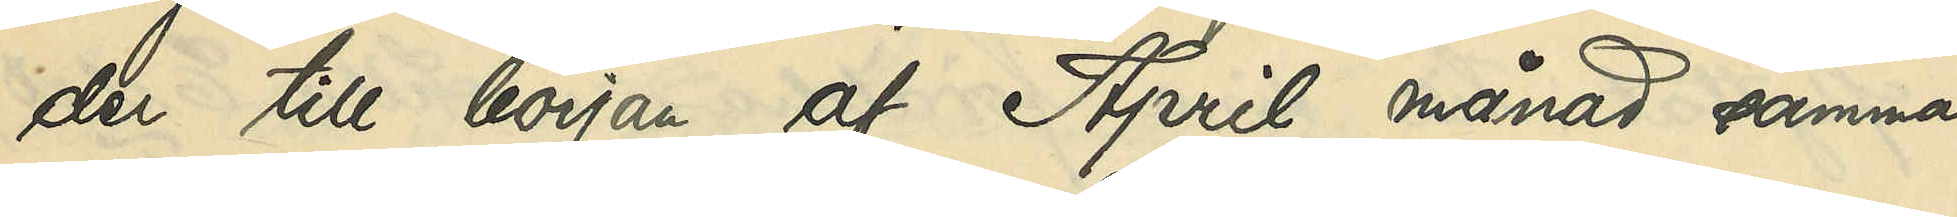der till början af April månad samma
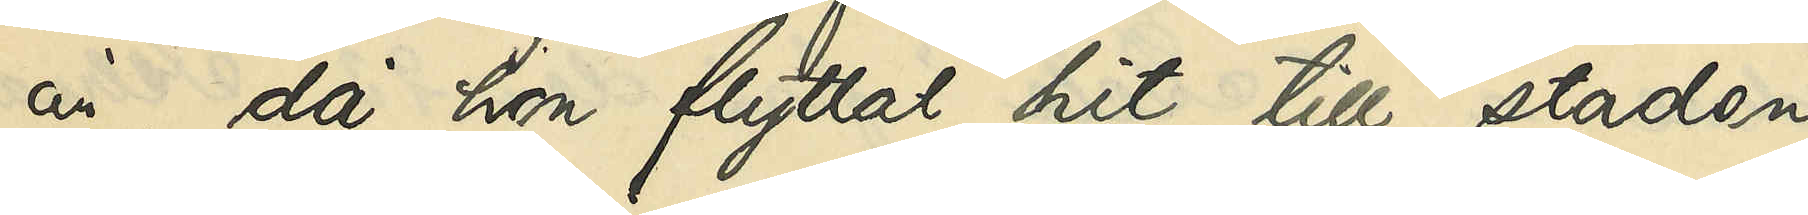år, då hon flyttat hit till staden,
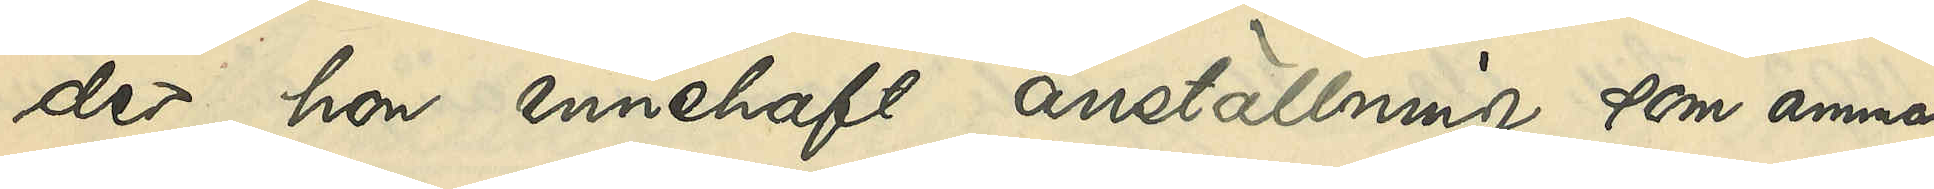der hon innehaft anställning som amma
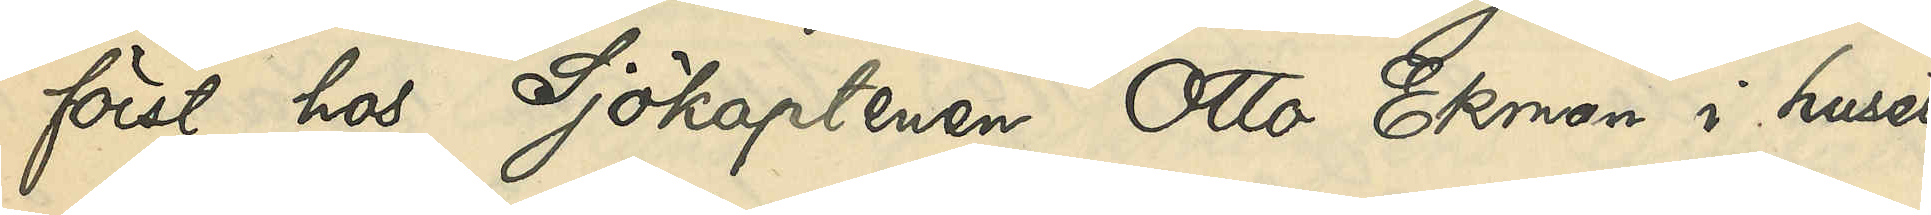först hos Sjökaptenen Otto Ekman i huset
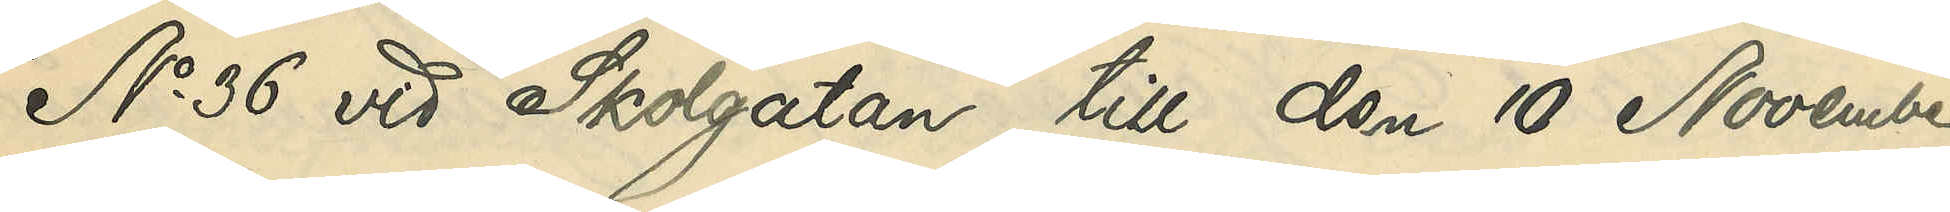No 36 vid Skolgatan till den 10 November
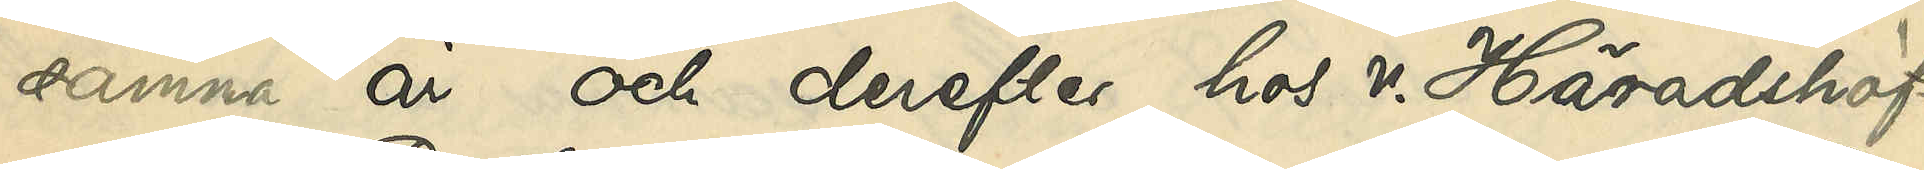samma år och derefter hos Häradshöf¬
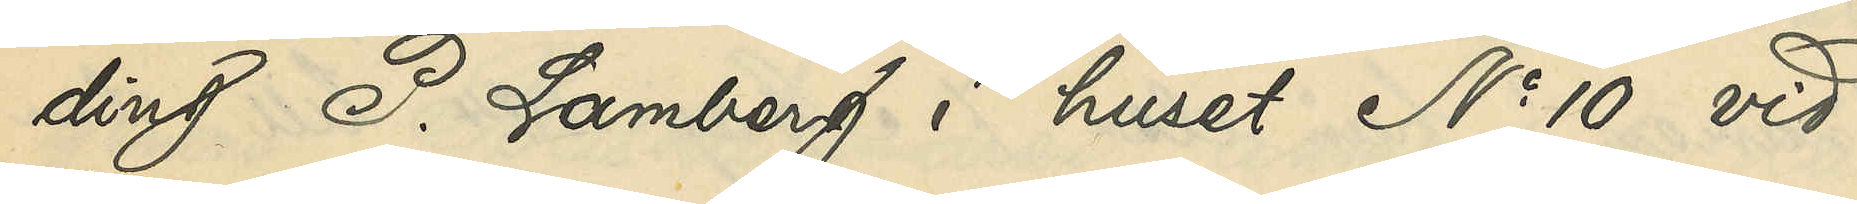ding P. Lamberg i huset No 10 vid
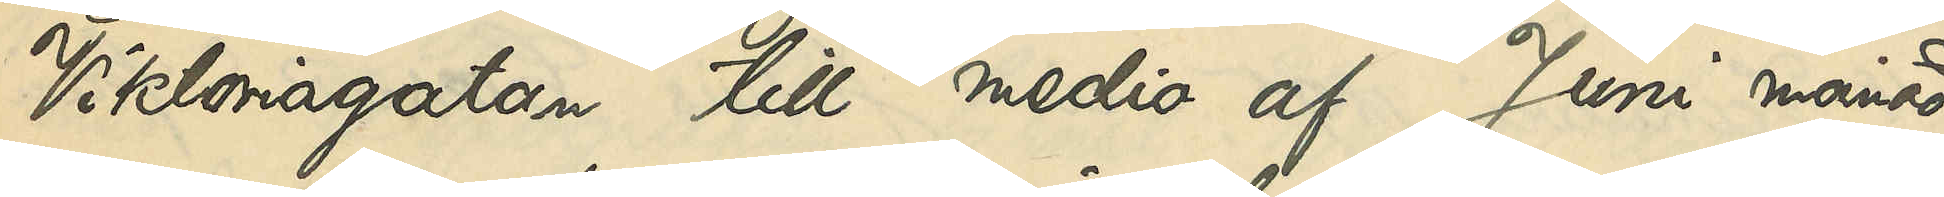Viktoriagatan till medio af Juni månad
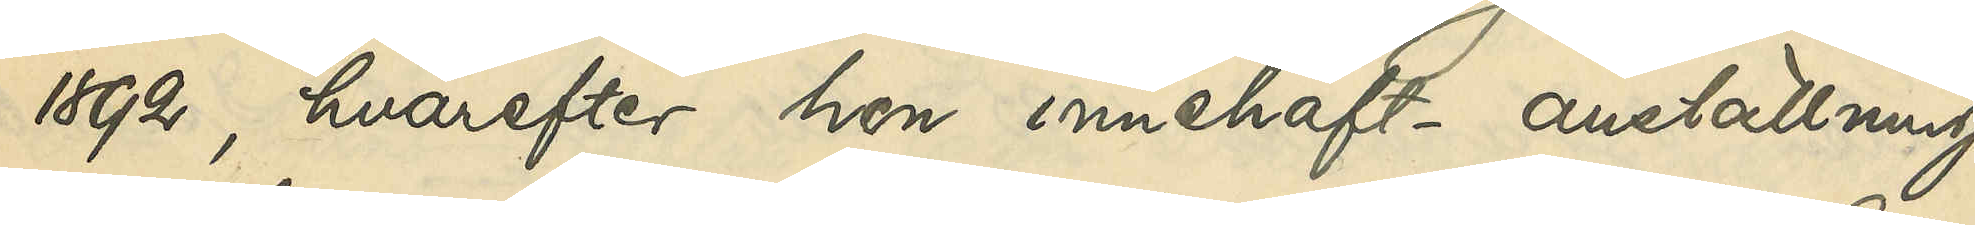1892, hvarefter hon innehaft anställning
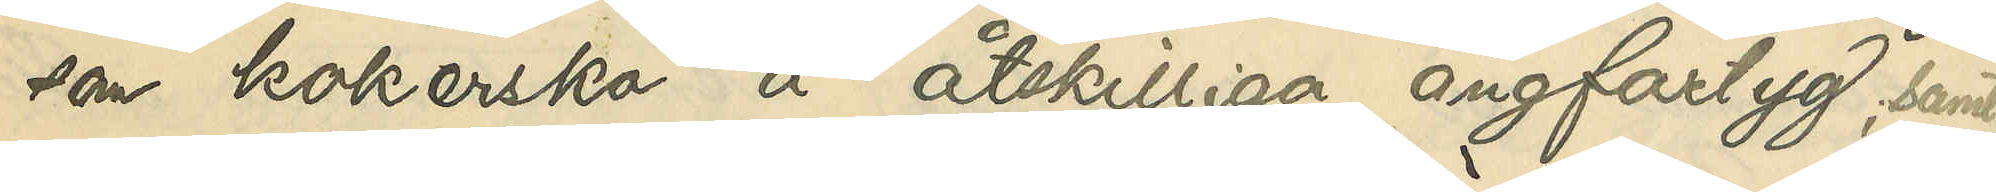som kokerska å åtskilliga ångfartyg, samt
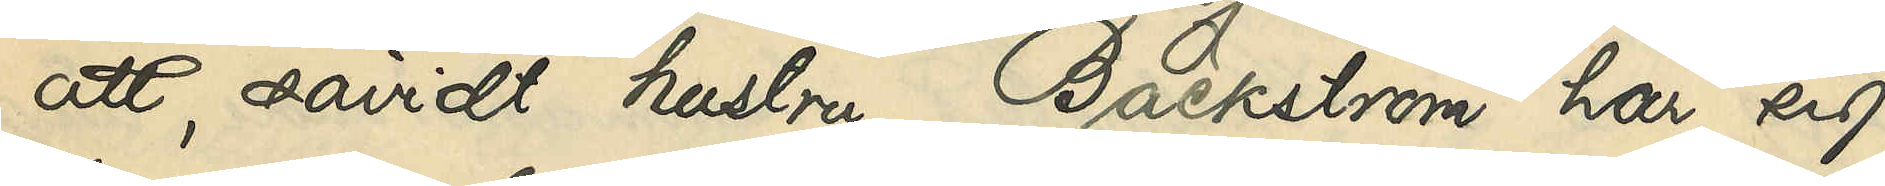att, såvidt hustru Bäckström har sig
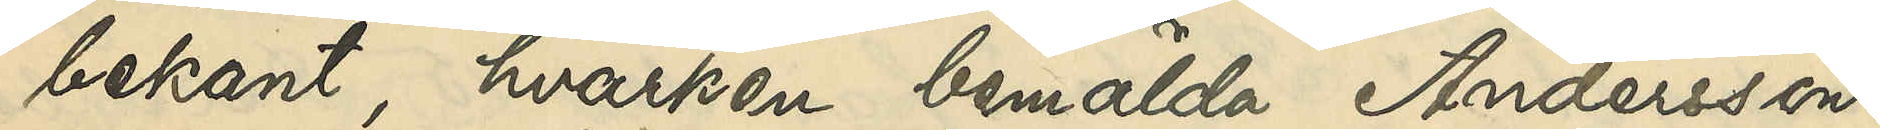bekant, hvarken bemälda Andersson
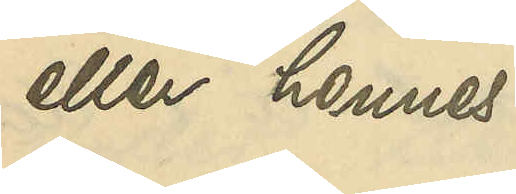eller hennes
